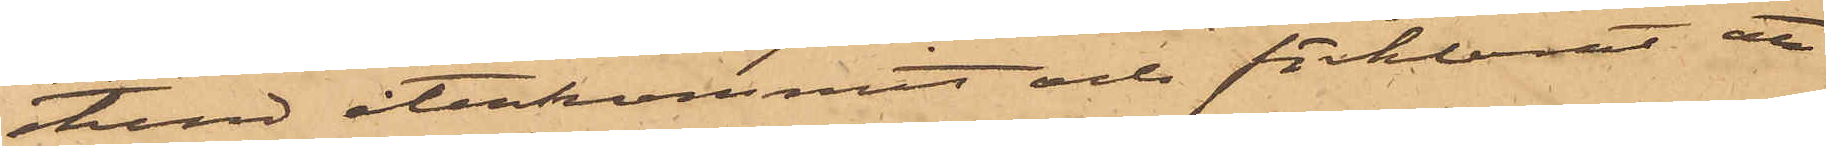stund återkommit och förklarat att
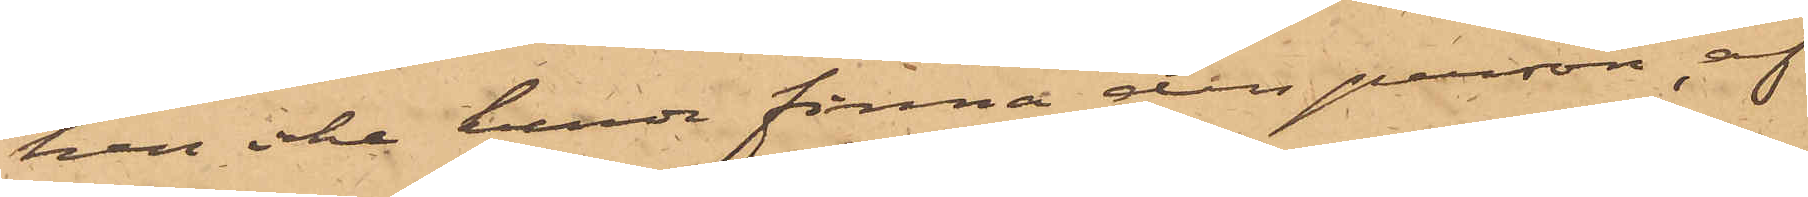han icke kunde finna den person, af
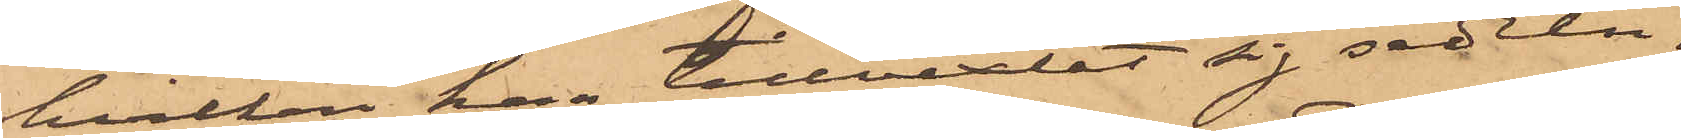hvilken har tillvexlat sig sedeln.
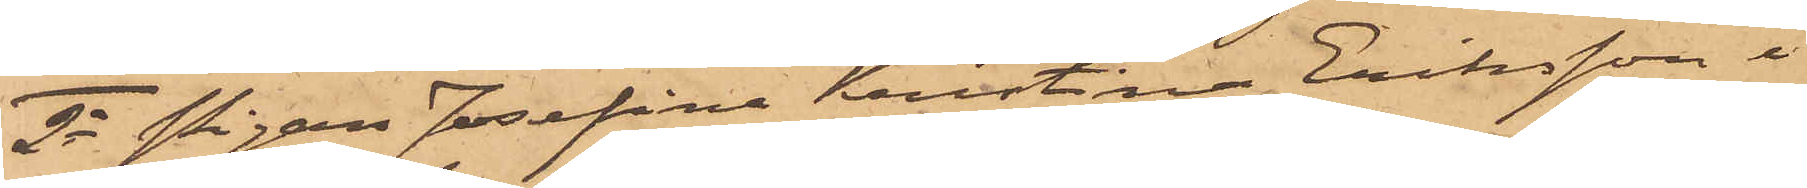2o Pigan Josefina Kristina Eriksson i
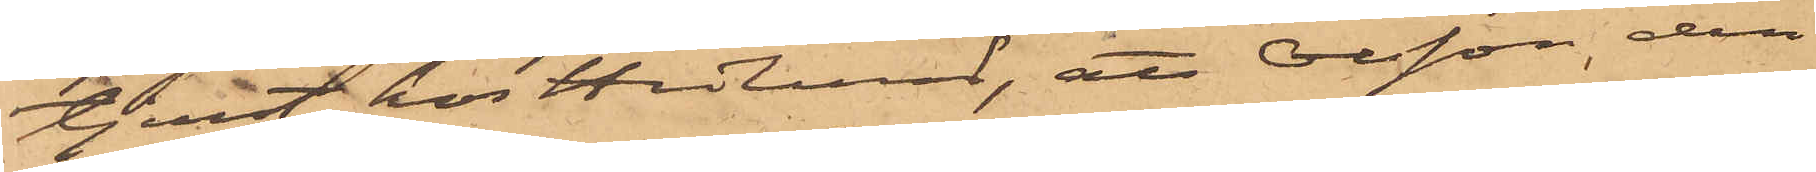tjenst hos Hedlund, att Olsson den
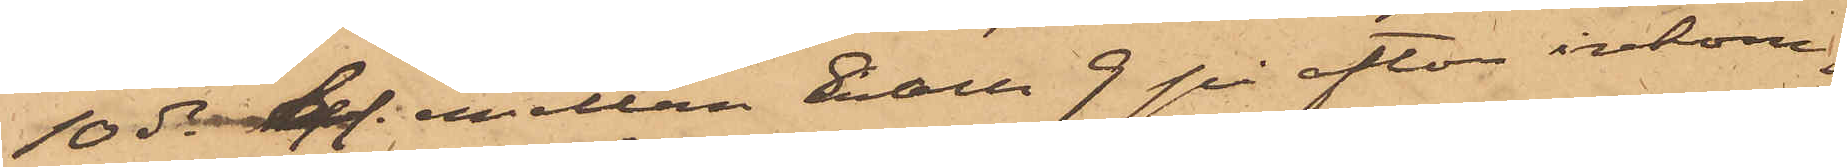10 ds. mellan 8 och 9 på afton inkom¬
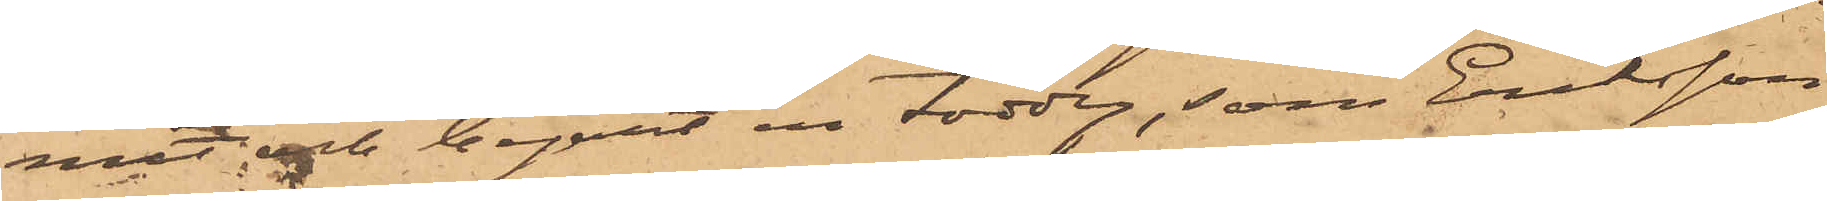mit och begärt en toddy, som Eriksson
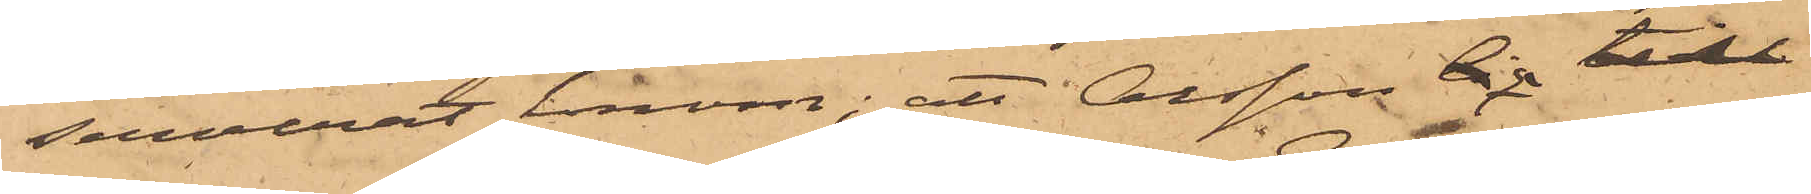serverat honom; att Olsson sig till
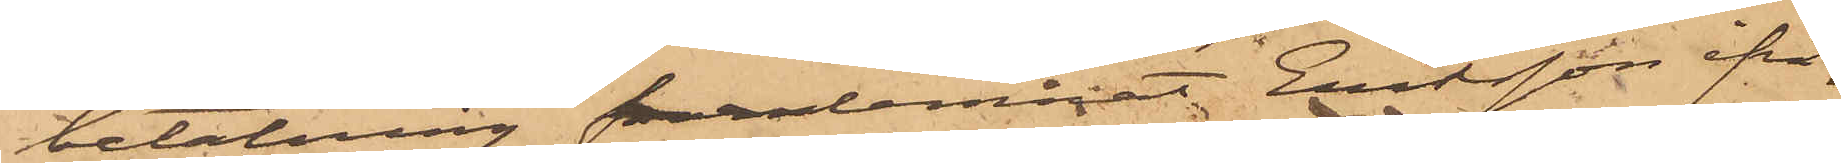betalning framlemnat Eriksson ifrå¬
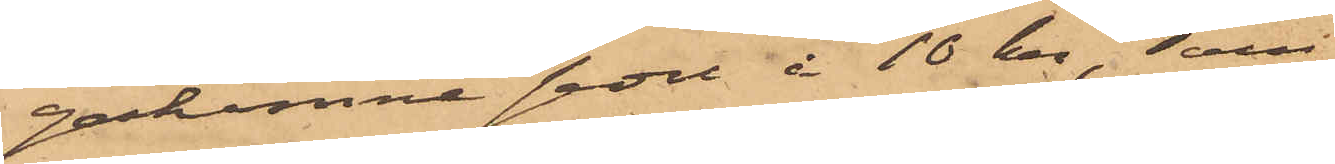gakomne sedel å 10 kr, som
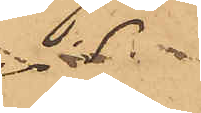vid
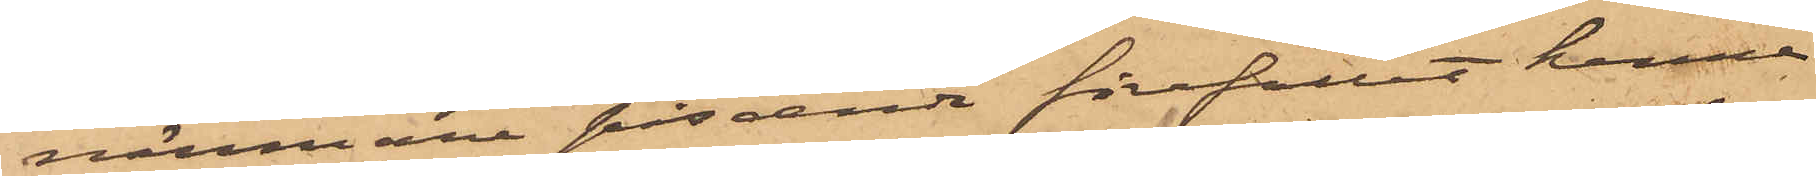närmare påseende förefallit henne
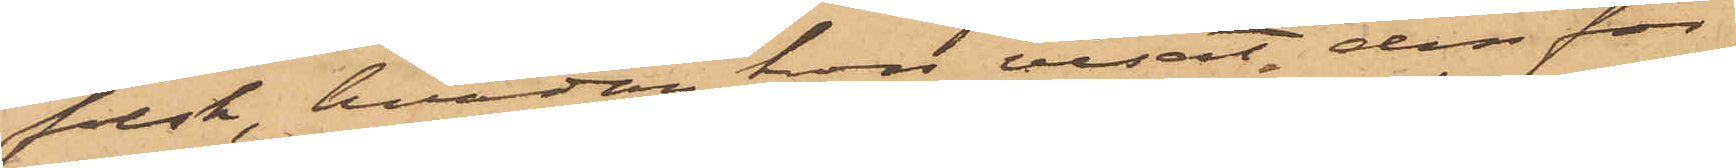falsk, hvadan hon visat den för
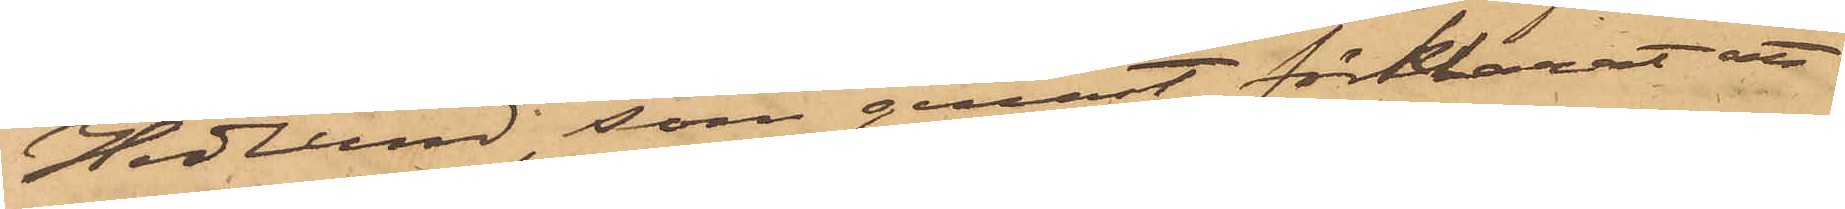Hedlund, som genast förklarat att
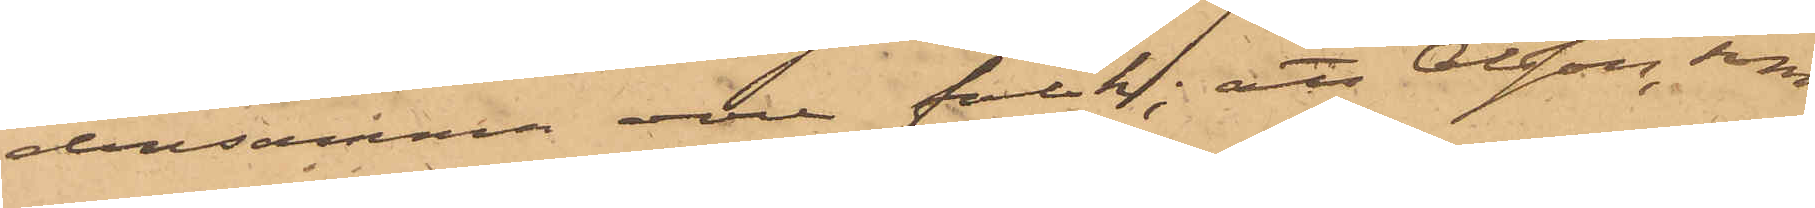densamma vore falsk; att Olsson, som
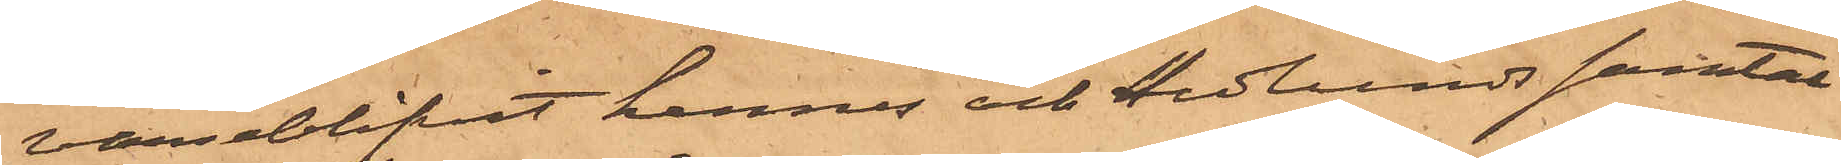varseblifvit hennes och Hedlunds samtal
